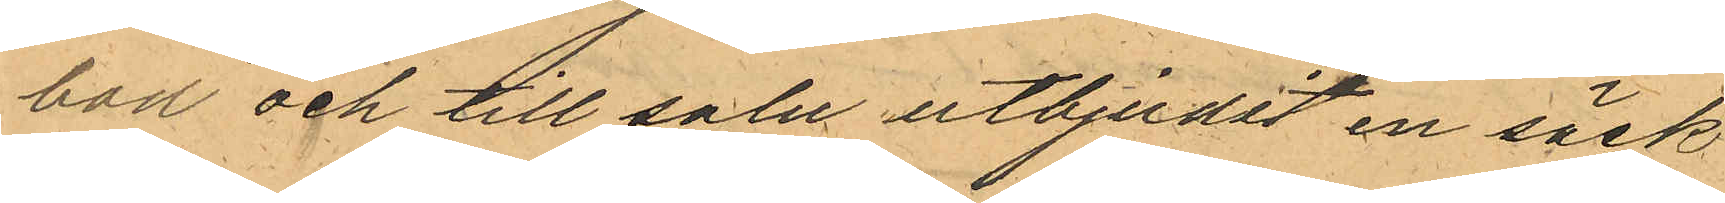bod och till salu utbjudit en säck
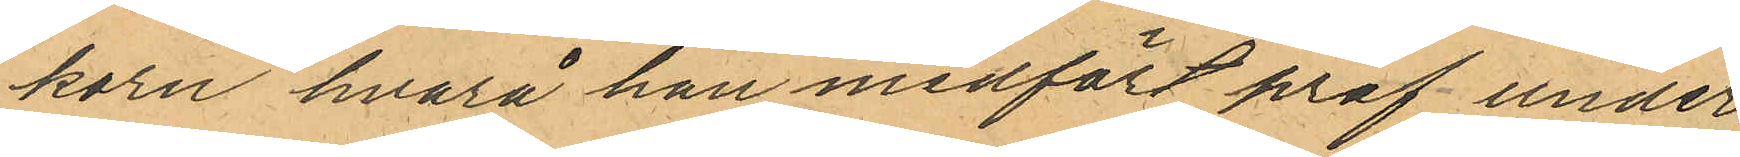korn hvarå han medfört prof under
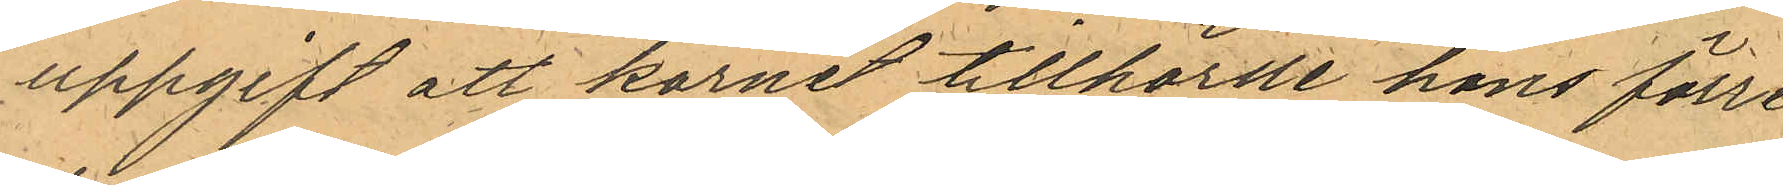uppgift att kornet tillhörde hans förre
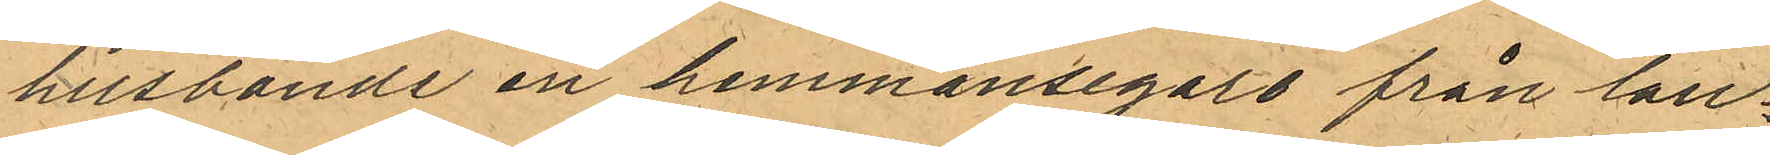husbonde en hemmansegare från lan¬
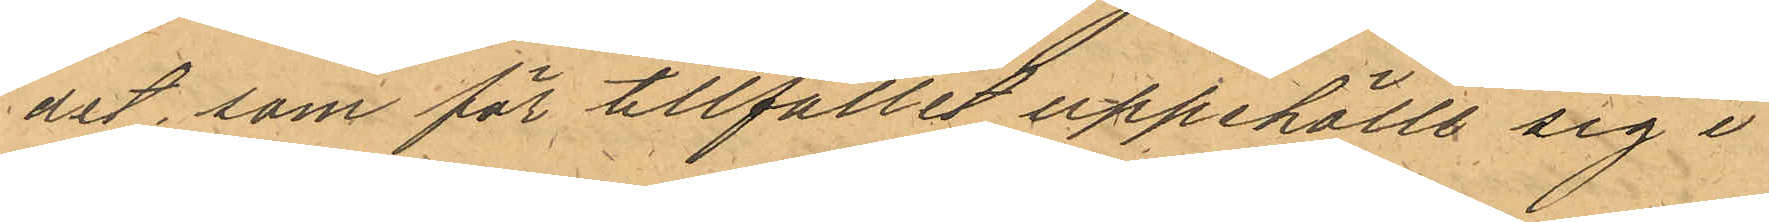det, som för tillfället uppehölle sig i
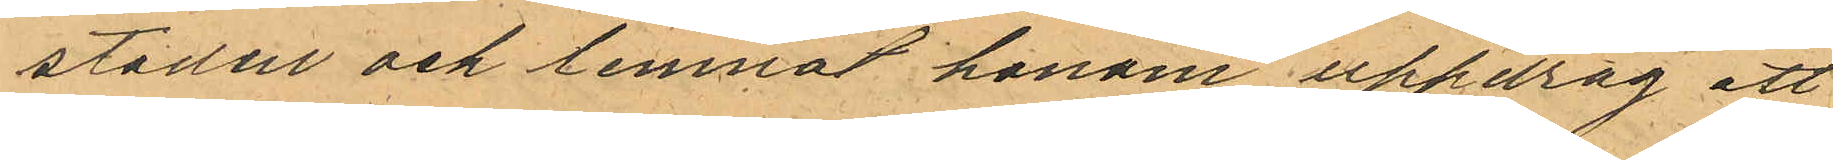staden och lemnat honom uppdrag att
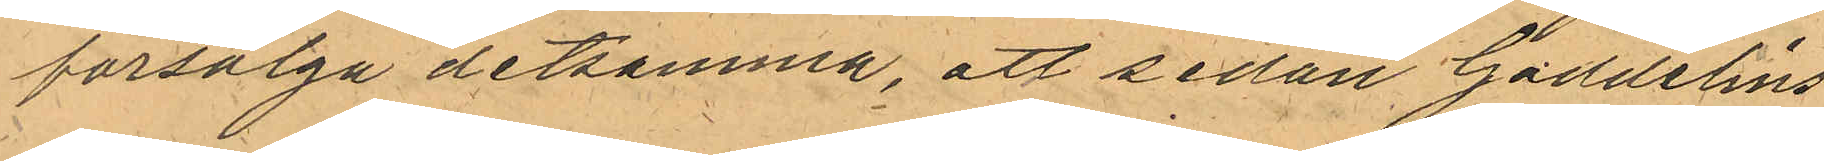försälga detsamma, att sedan Gaddelins
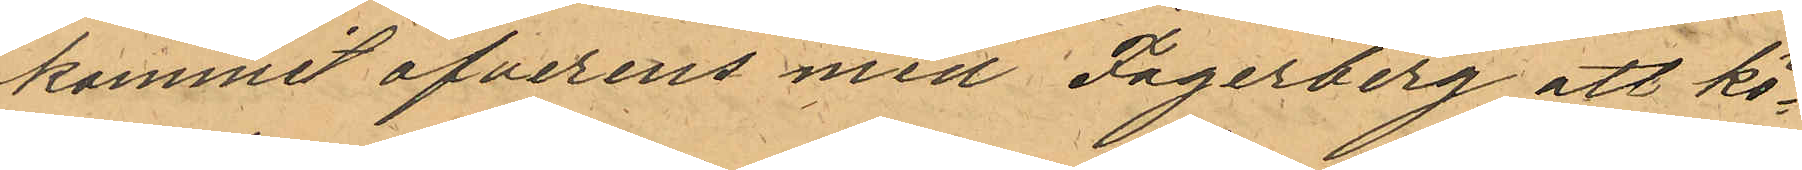kommit öfverens med Fagerberg att kö¬
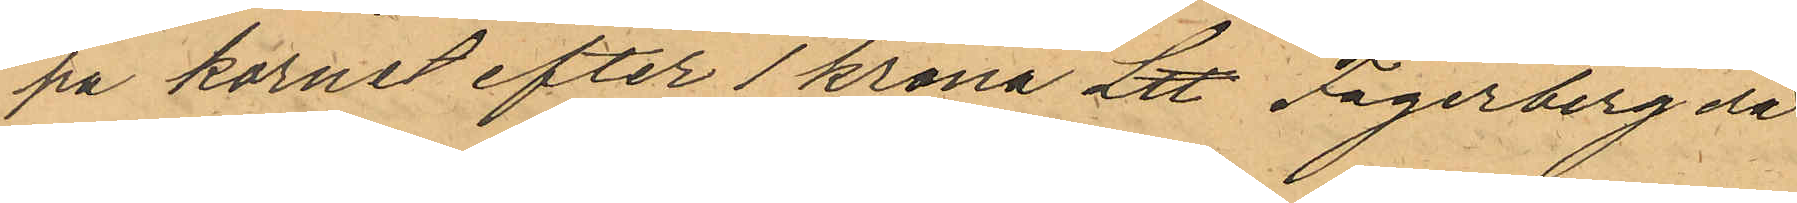pa kornet efter 1 krona L℔ Fagerberg då
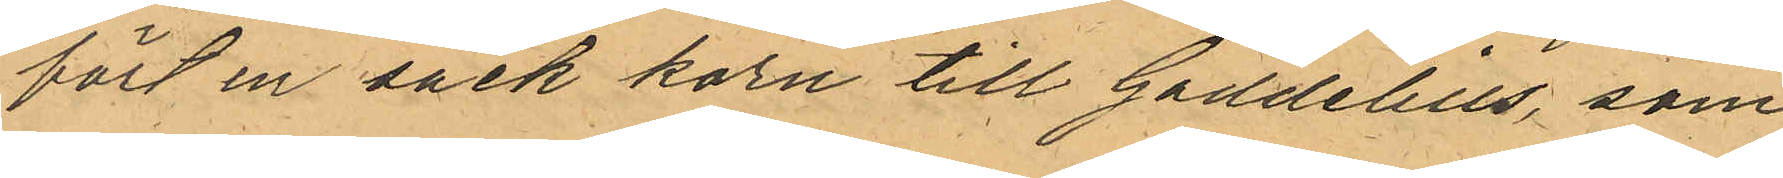fört en säck korn till Gaddelius, som
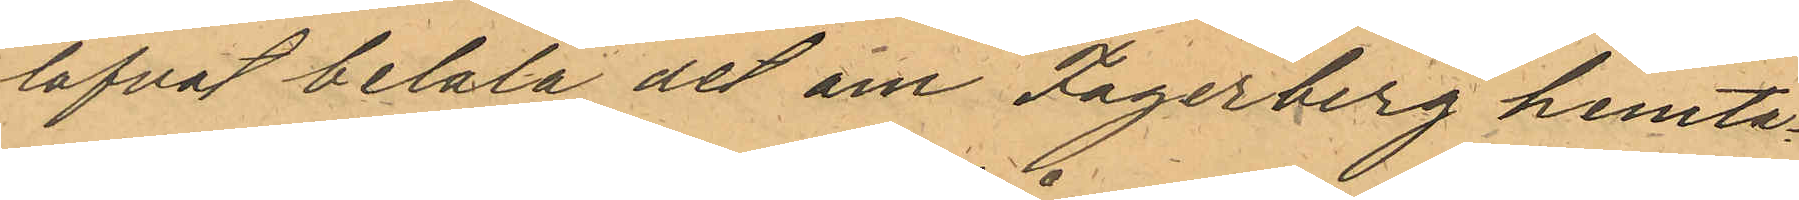lofvat betala det om Fagerberg hemta¬
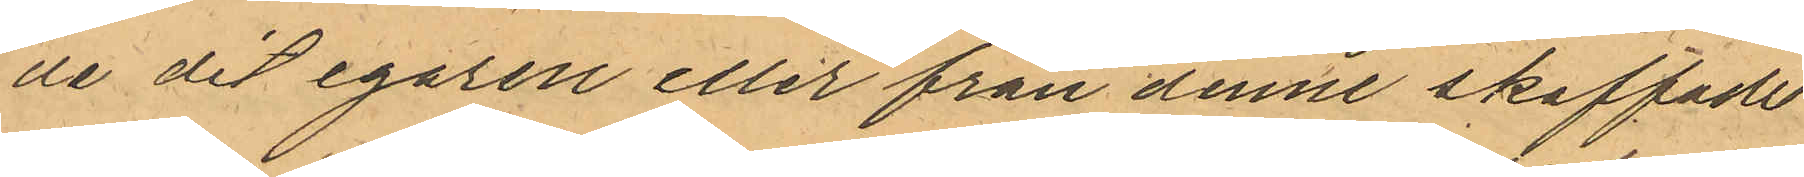de dit egaren eller från denne skaffade
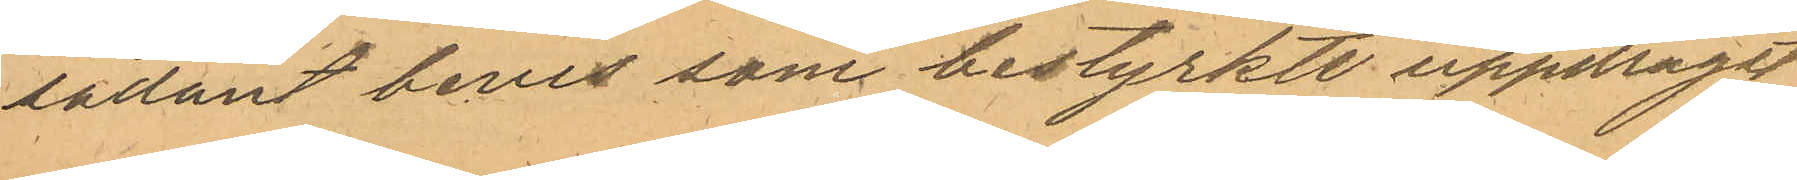sådant bevis som bestyrkte uppdraget
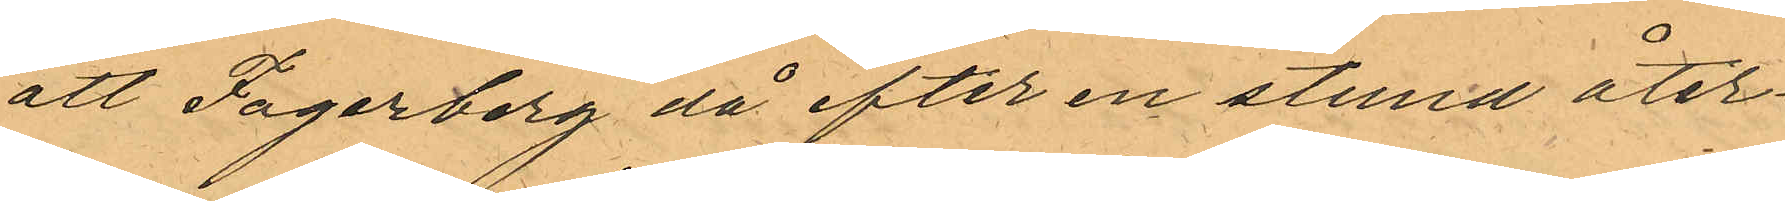att Fagerberg då efter en stund åter¬
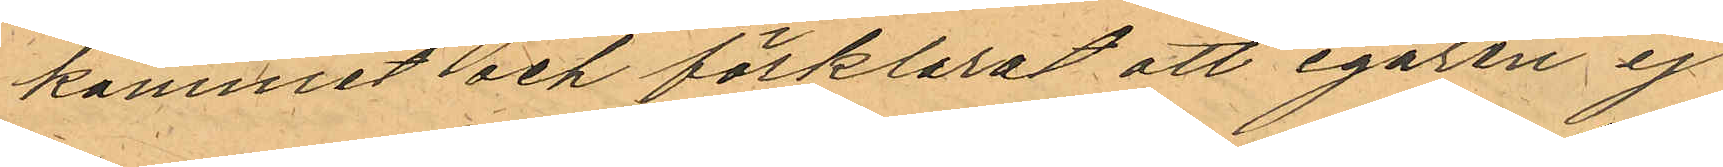kommit och förklarat att egaren ej
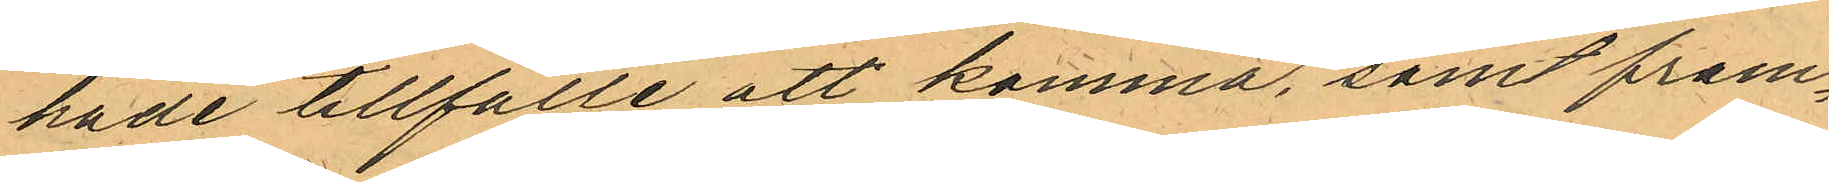hade tillfälle att komma, samt fram¬
